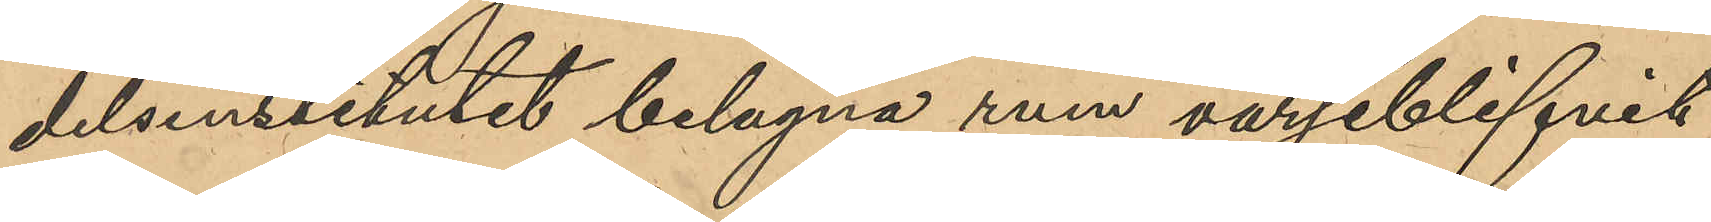delsinstitutet belägna rum varseblifvit
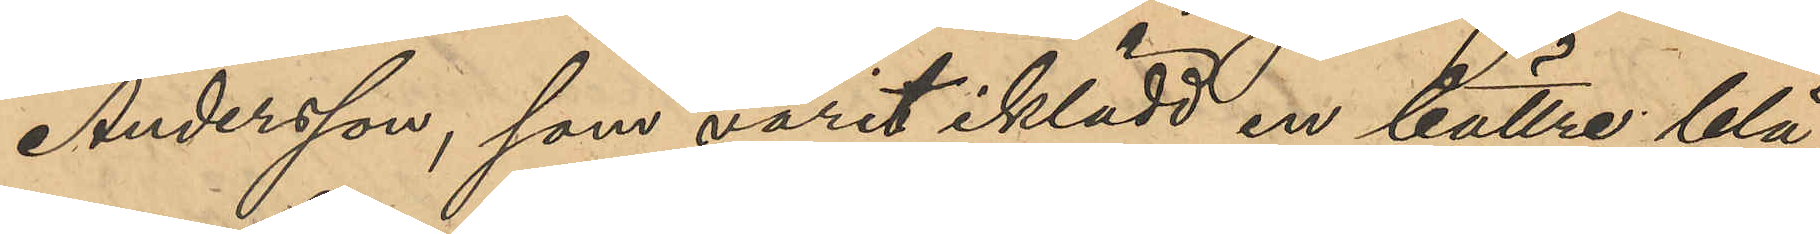Andersson, som varit iklädd en bättre blå¬
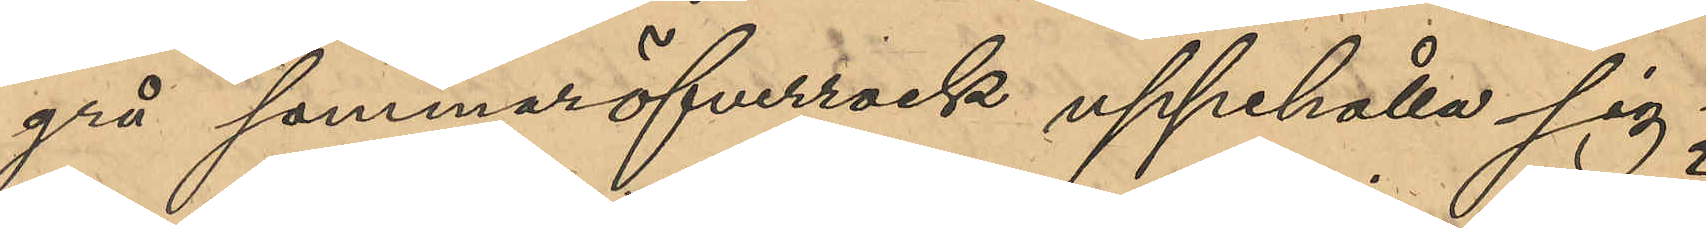grå sommaröfverrock uppehålla sig i
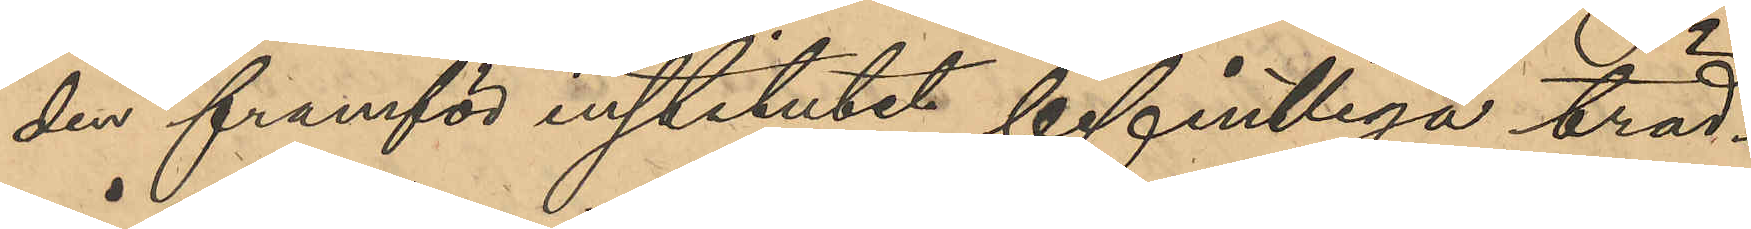den framför institutet befintliga träd¬
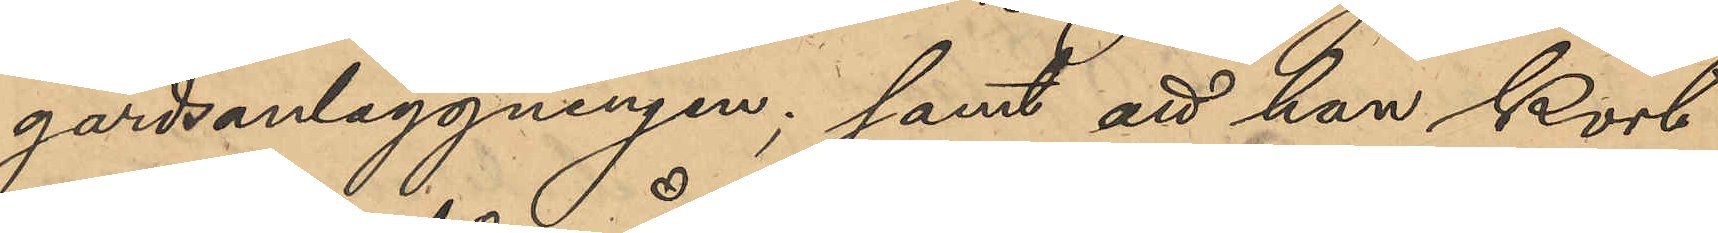gårdsanläggningen; samt att han kort
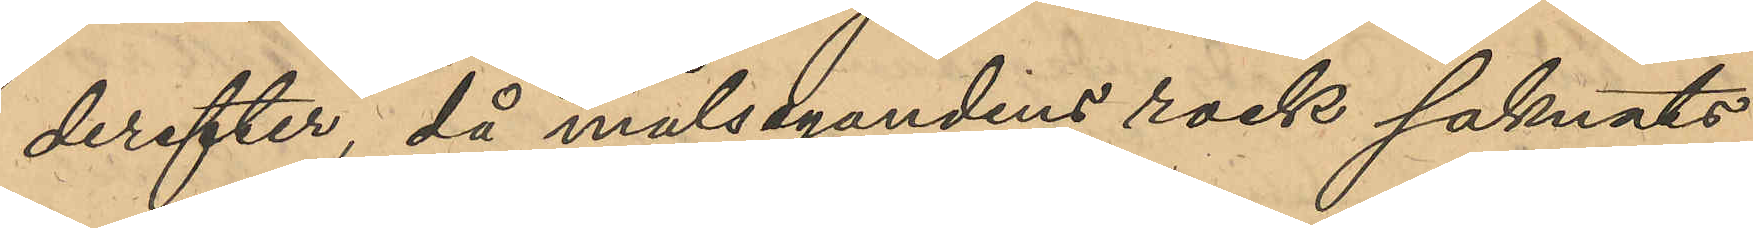derefter, då målsegandens rock saknats,
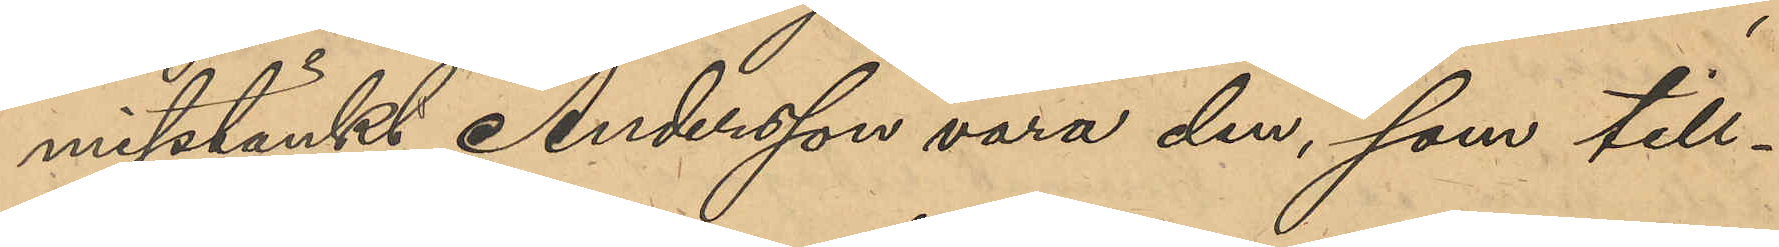misstänkt Anderson var den, som till¬
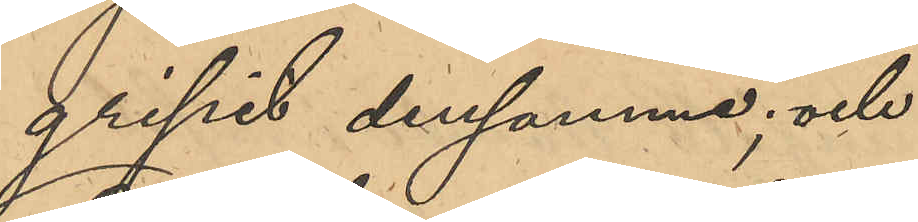gripit densamme; och
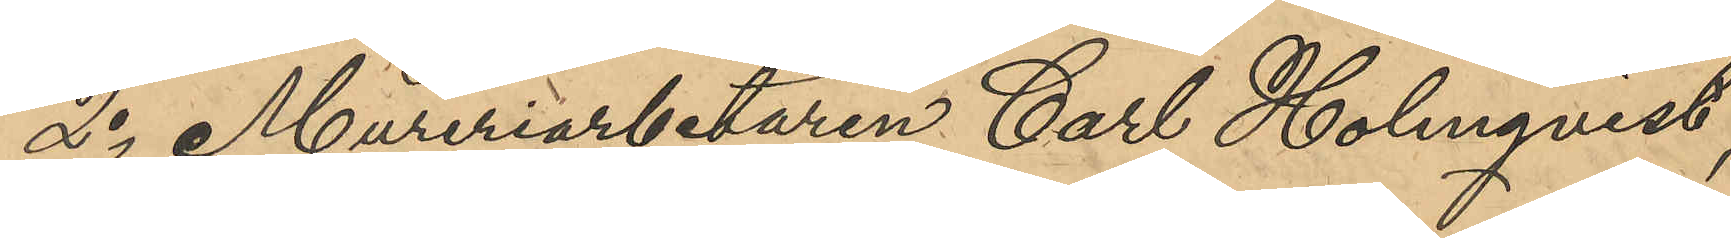2o Mureriarbetaren Carl Holmqvist,
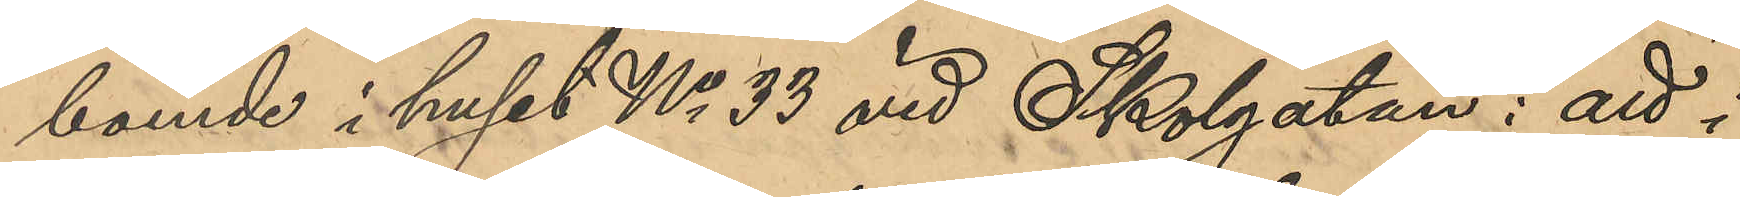boende i huset No 33 vid Skolgatan: att i
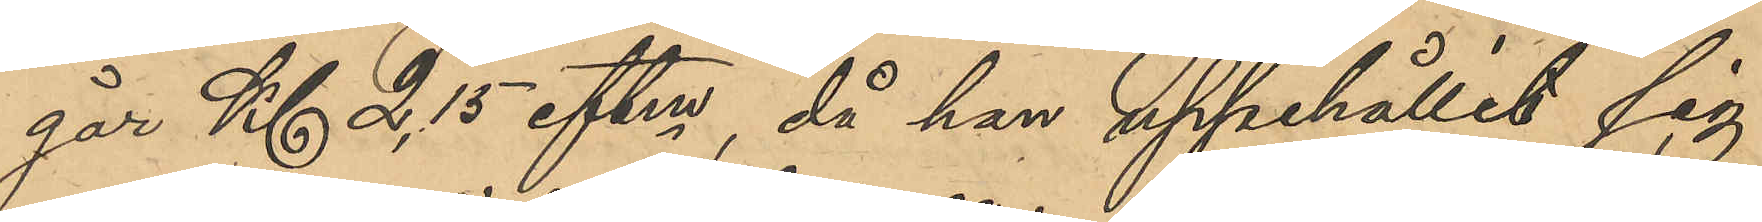går Kl 2,15 eftm, då han uppehållit sig
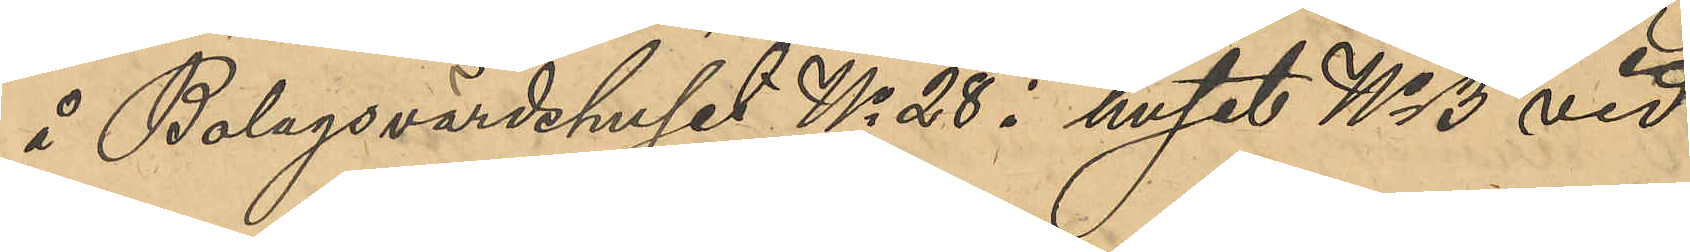å Bolagsvärdshuset No 28 i huset No 13 vid
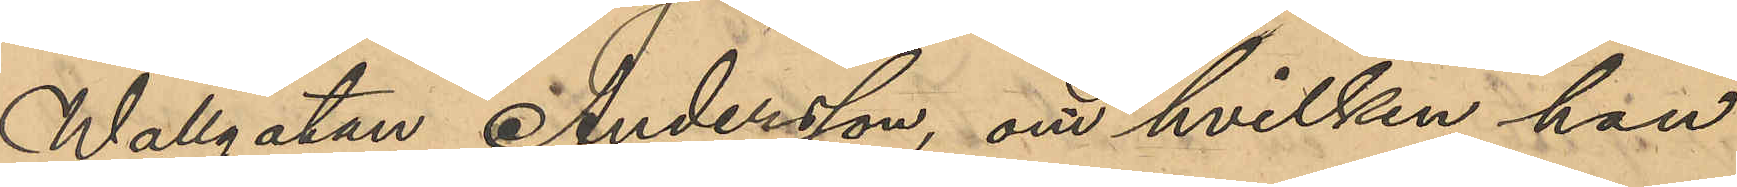Wallgatan, Andersson, om hvilken han
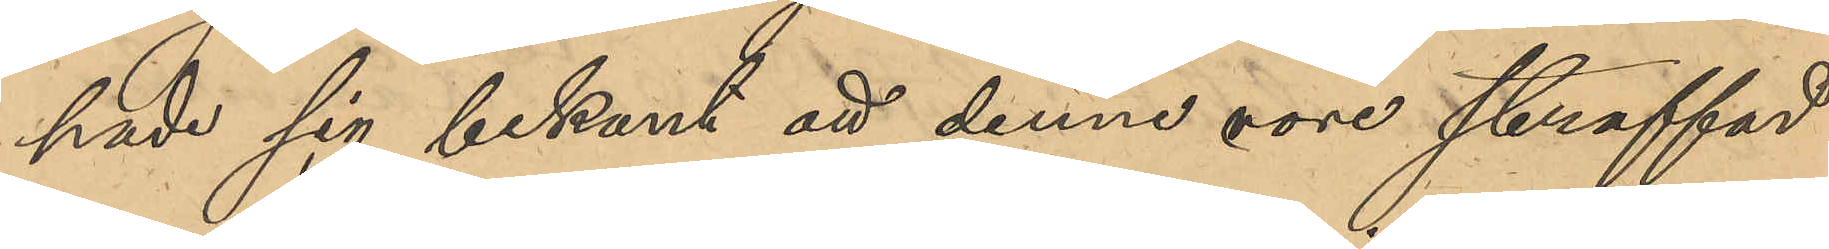hade sig bekant att denne vore straffad
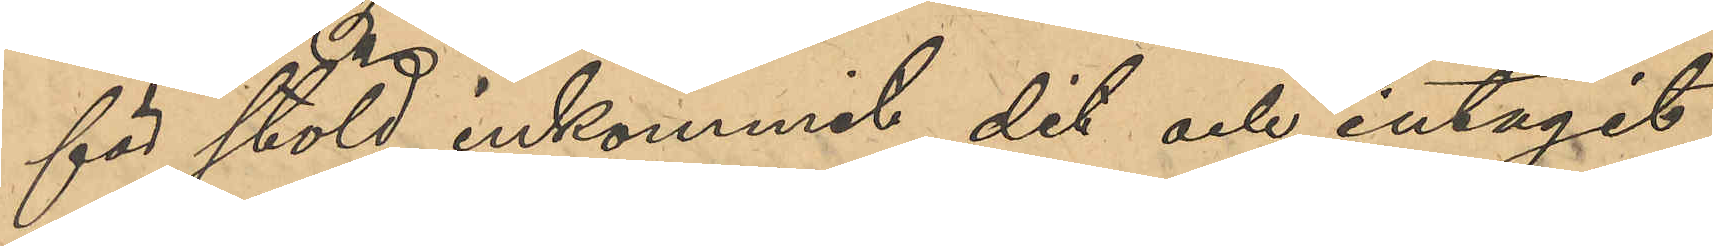för stöld, inkommit dit och intagit
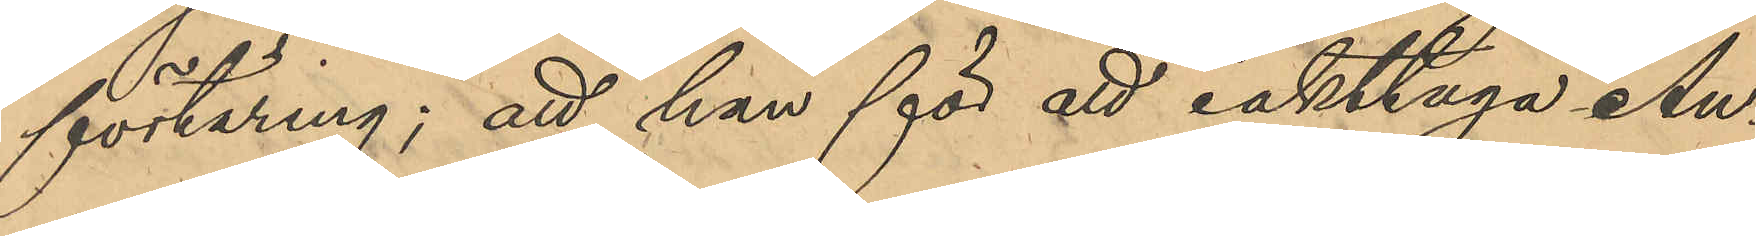förtäring; att han för att iakttaga An¬
